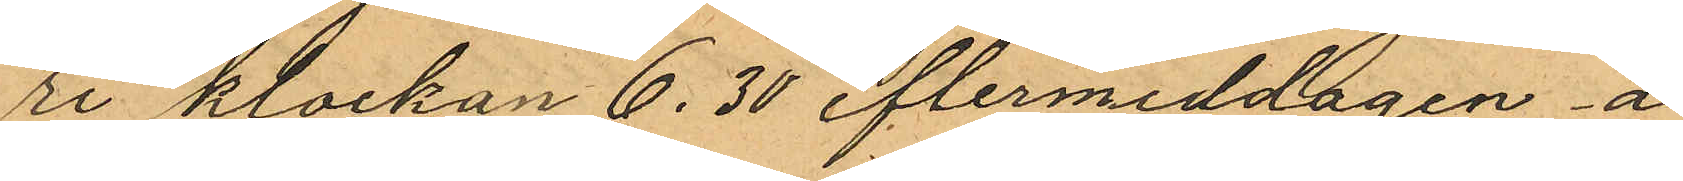ri klockan 6,30 eftermiddagen å
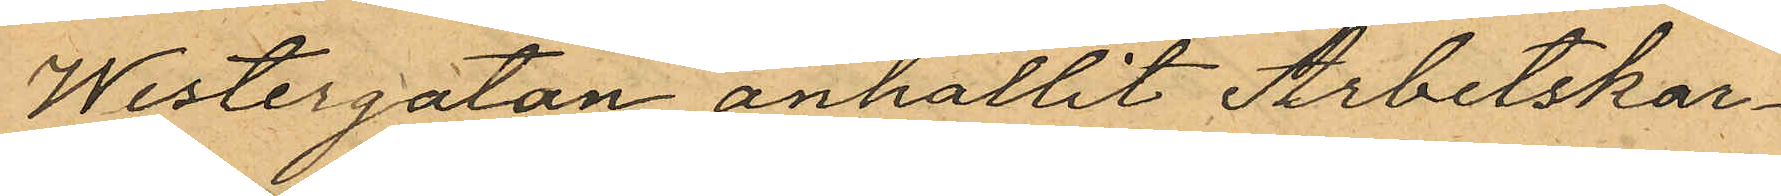Westergatan anhållit Arbetskar¬
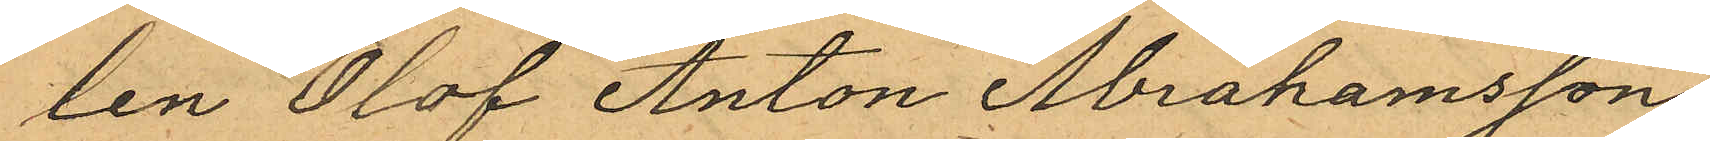len Olof Anton Abrahamsson,
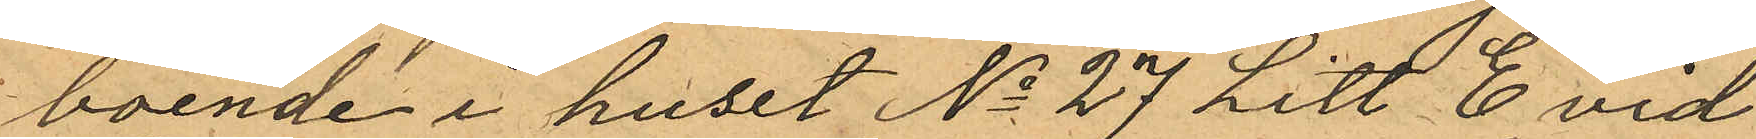boende i huset No 27 Litt C vid
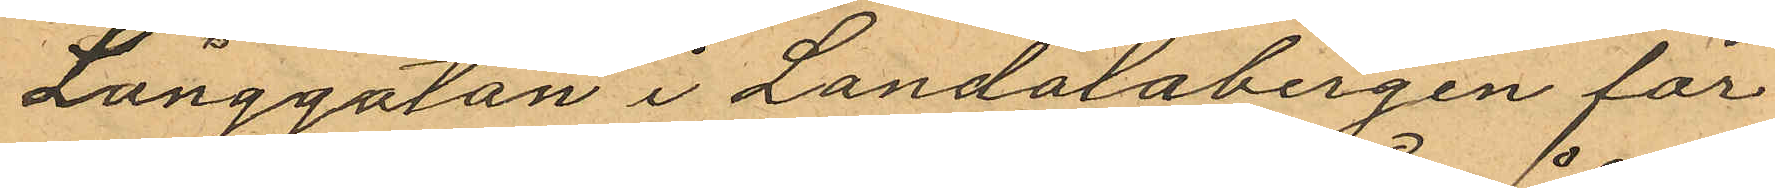Långgatan i Landalabergen för
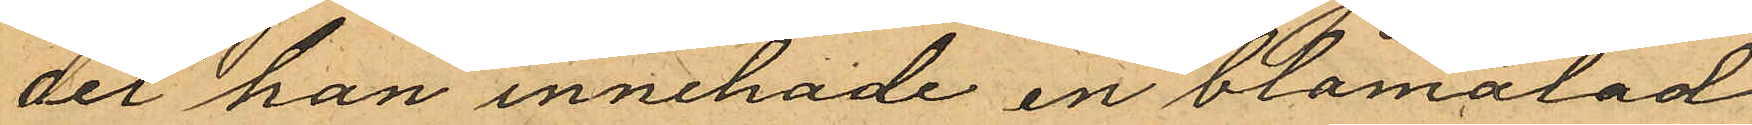det han innehade en blåmålad
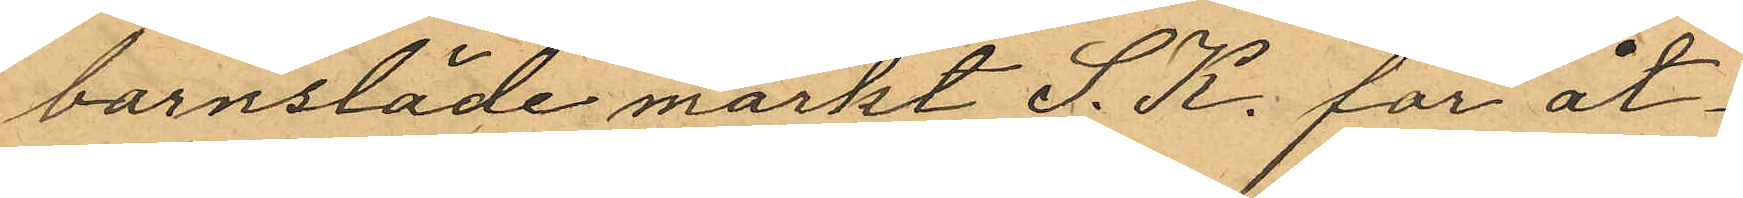barnsläde märkt S. K. för åt¬
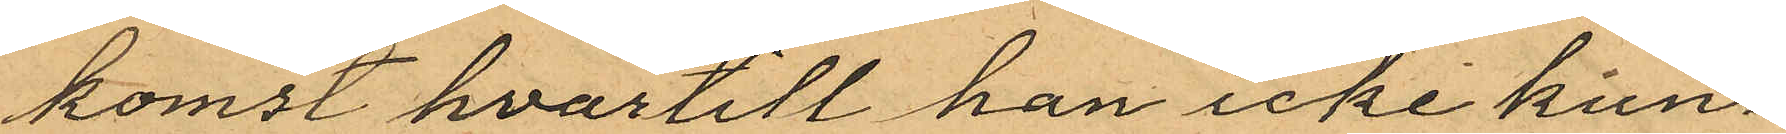komst hvartill han icke kun¬
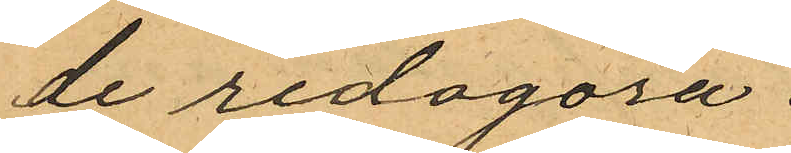de redogöra.
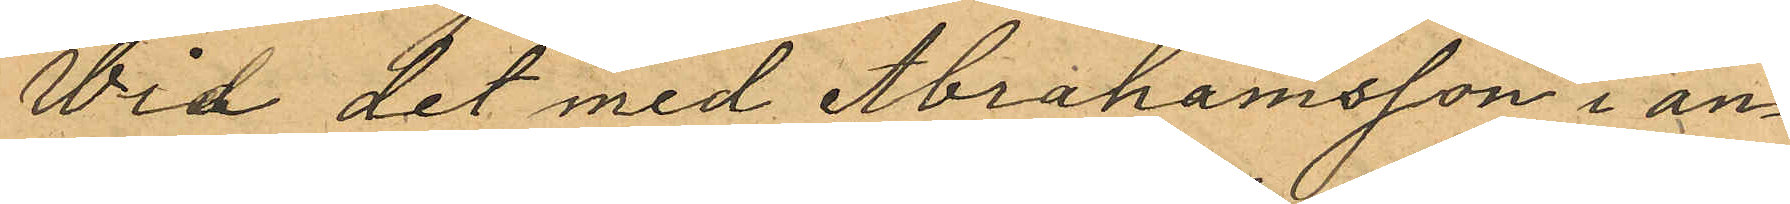Vid det med Abrahamsson i an¬
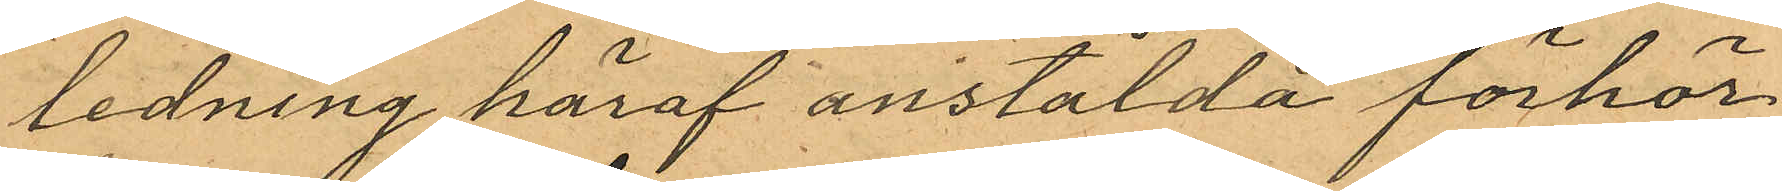ledning häraf anstälda förhör
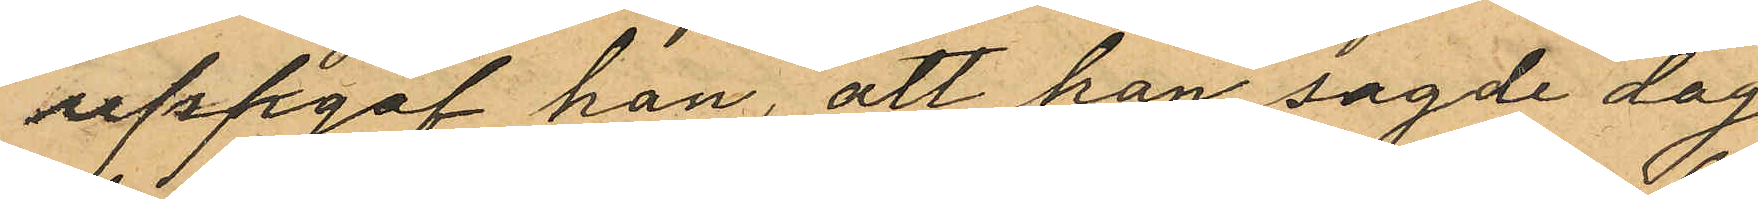uppgaf han, att han sagde dag
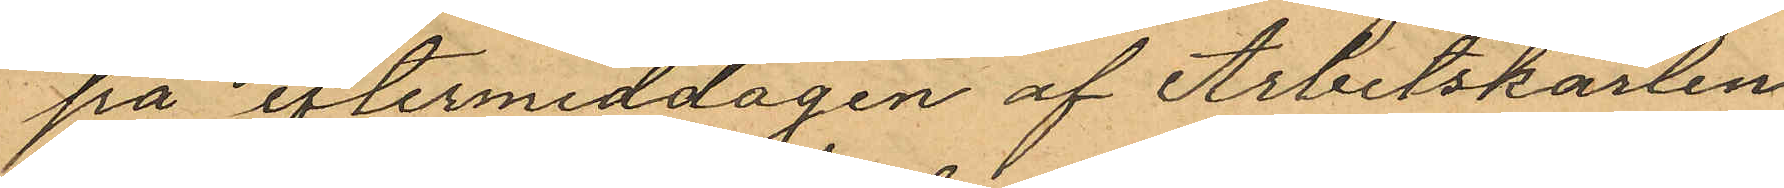på eftermiddagen af Arbetskarlen
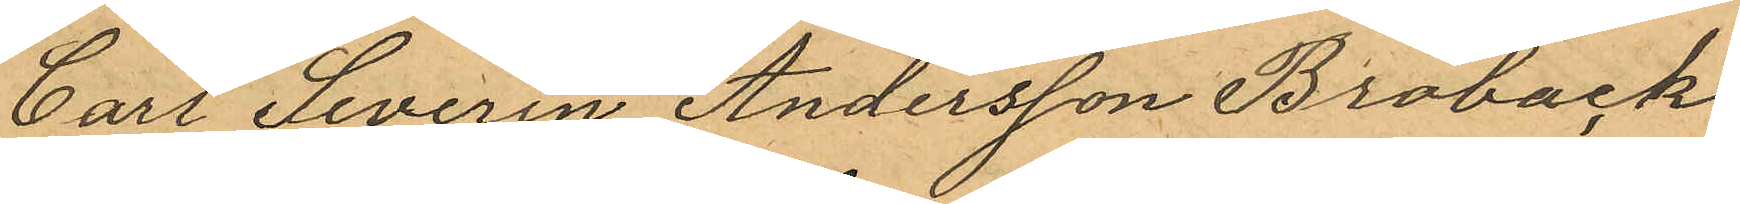Carl Severin Andersson Broback
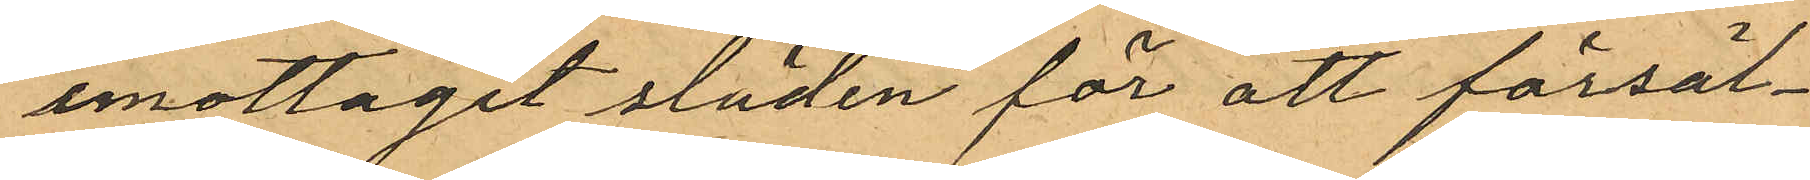emottagit släden för att försäl¬
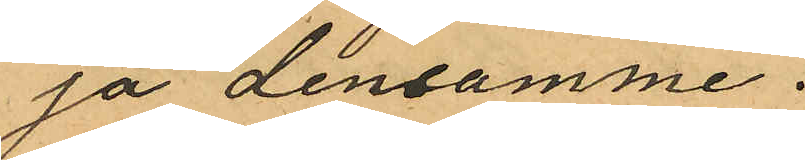ja densamme.
